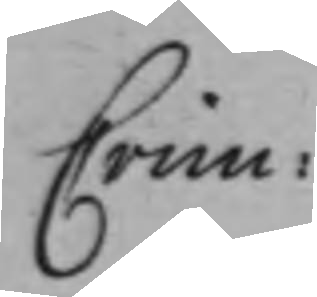Crim:
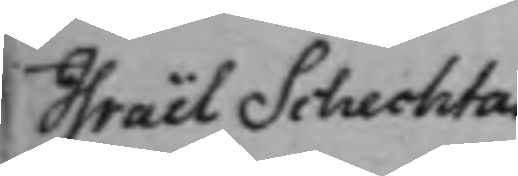Israël Schechtas
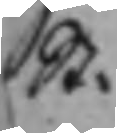St:
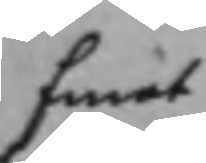Emot
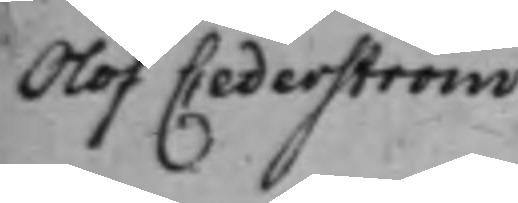Olof Cederström
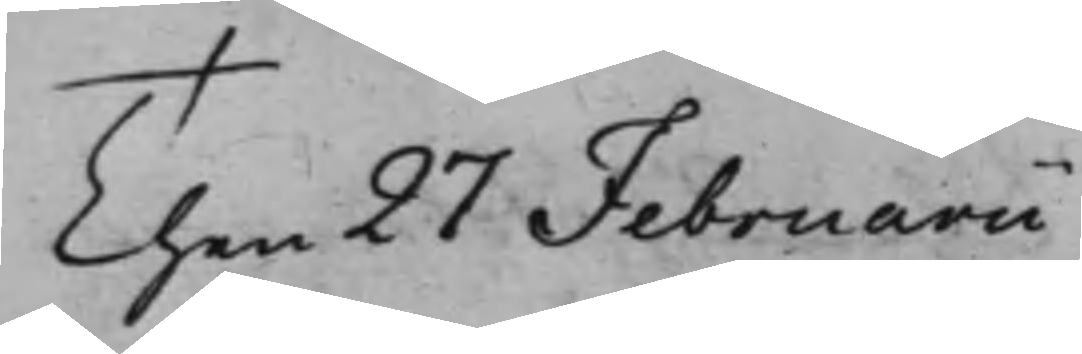Then 27 Februarii
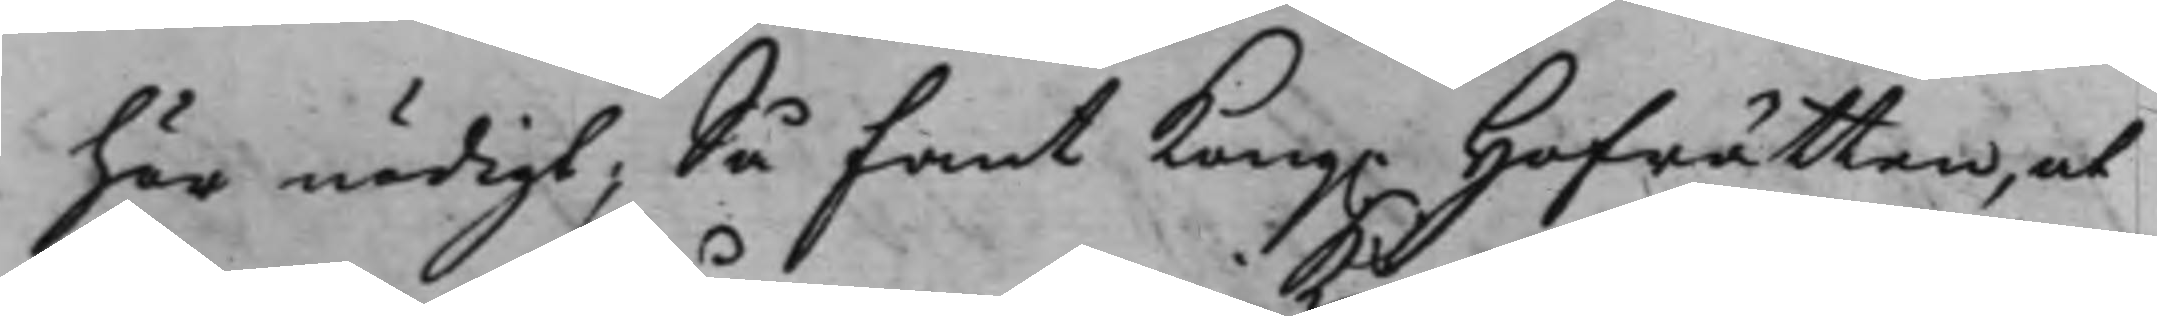här nödigt; Så fant Kong. Hofrätten, at
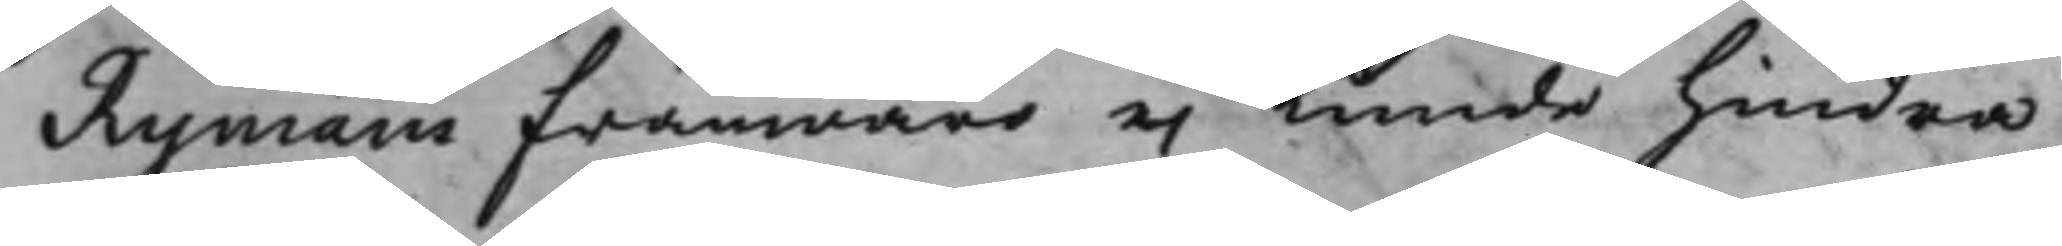Rymans frånwaro ei Kunde hindra
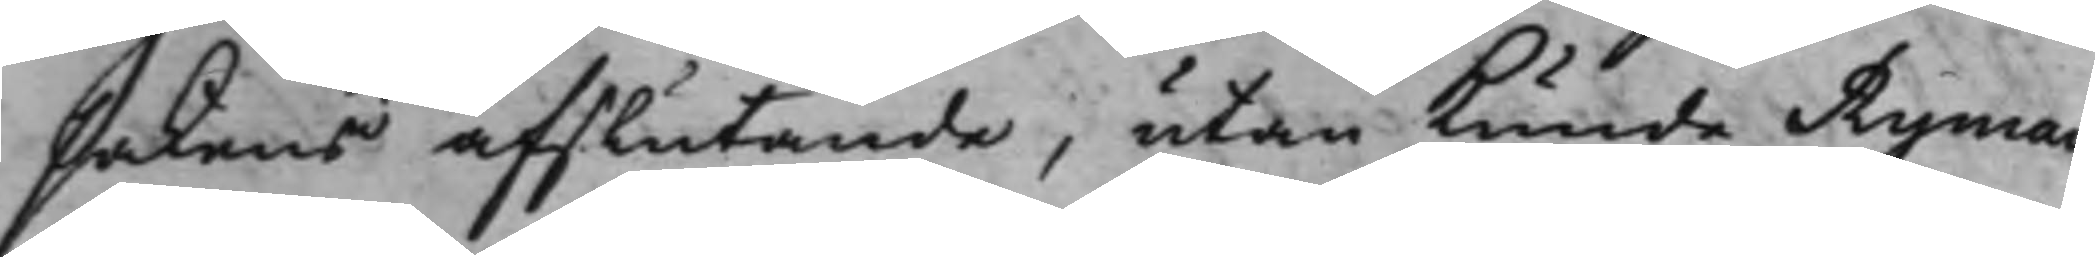sakens afslutande, utan Kunde Ryman
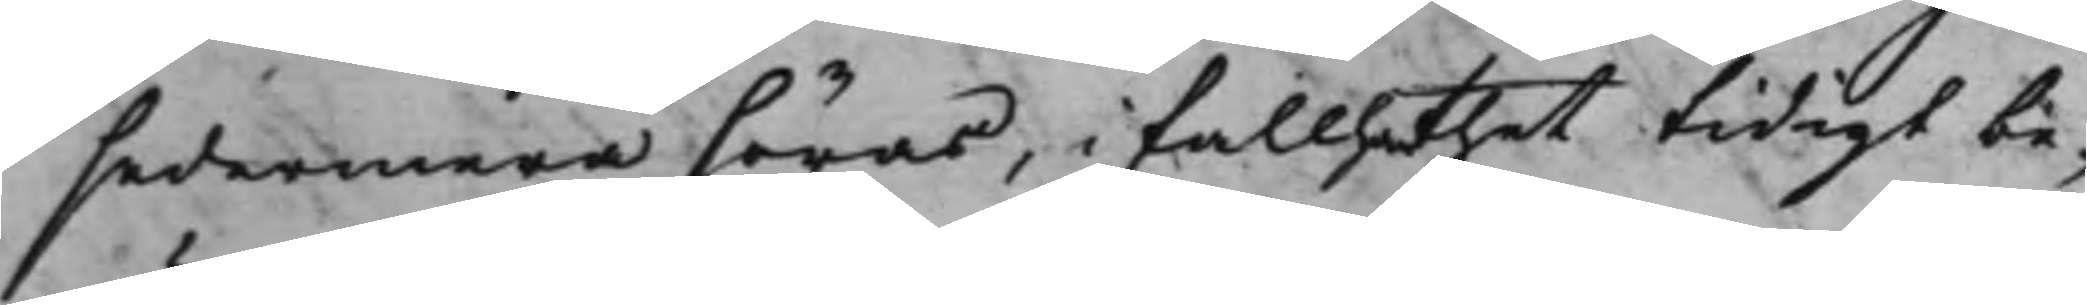sedermera höras, i fall han thet tidigt be¬
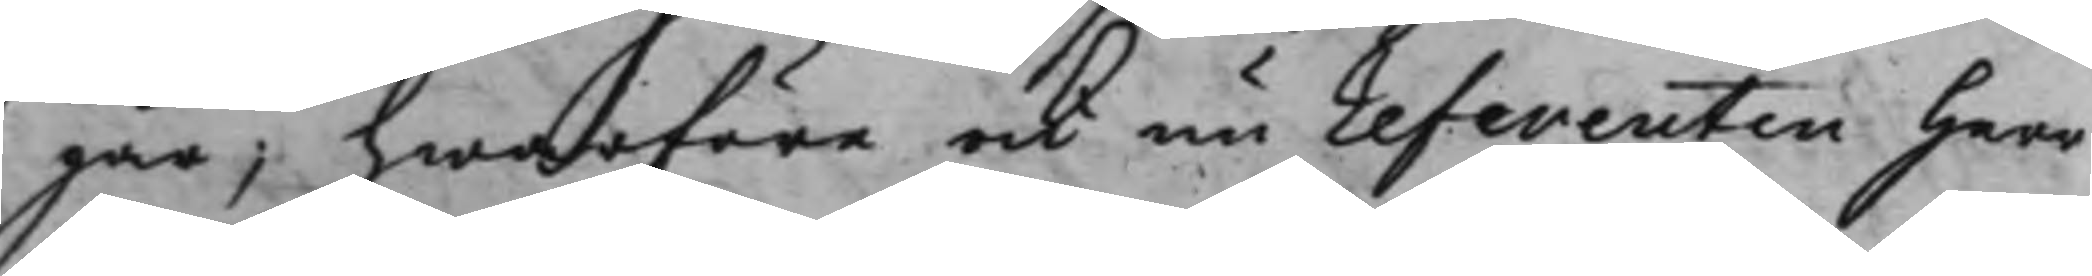gär, hwarföre ock nu referenten Herr
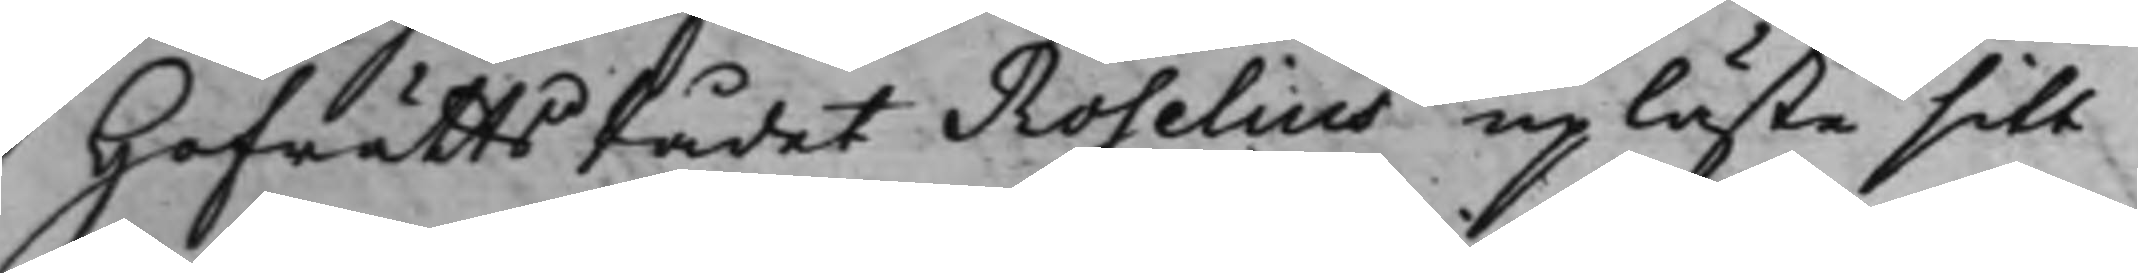HofrättsRådet Roselius upläste sitt
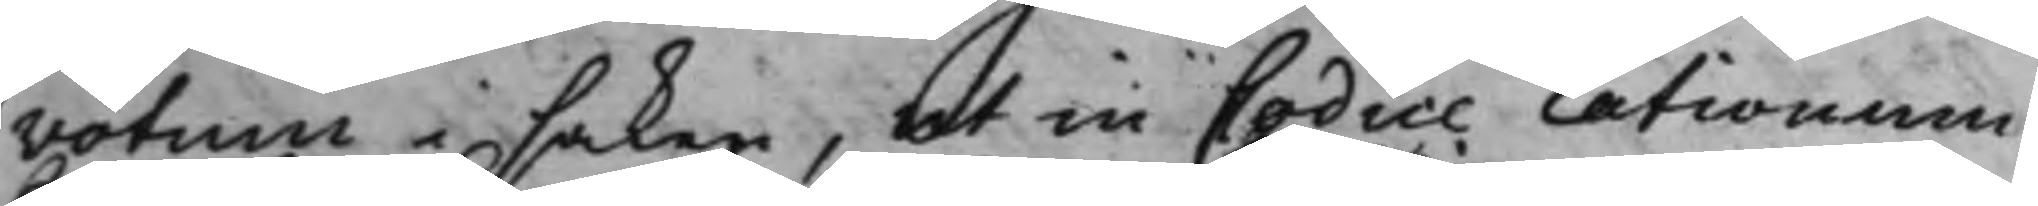votum i saken, ut in Codice rationum.
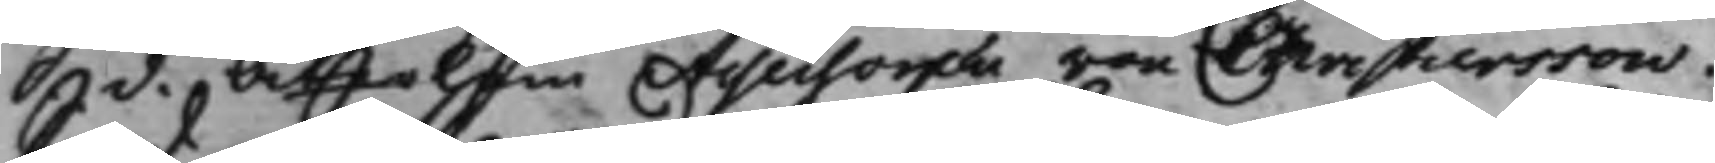S d. återkom Assessoren von Christiersson.
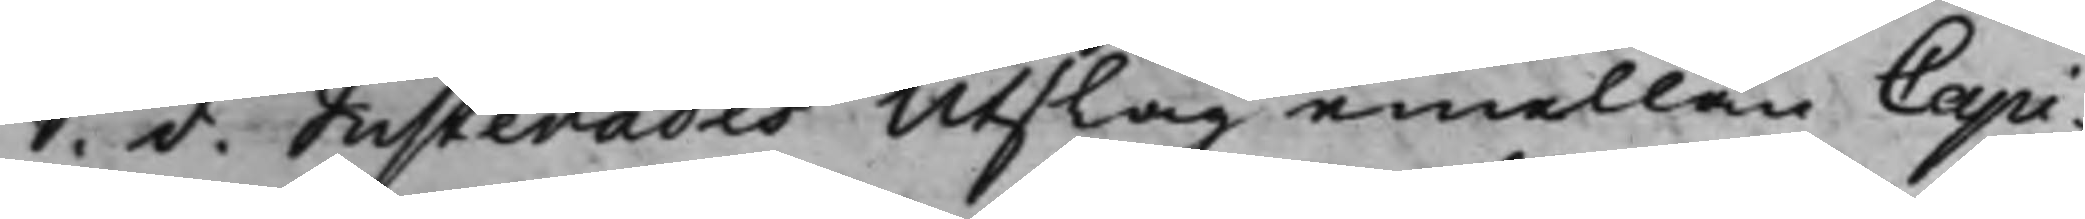S. d. Justerades Utslag emellan Capi¬
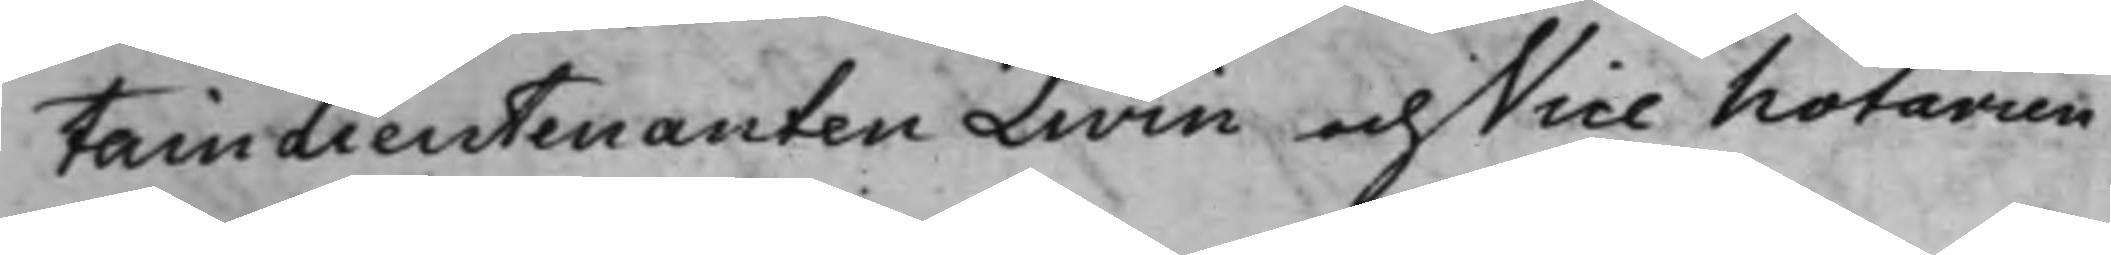tainLieutenanten Livin och Vice Notarien
